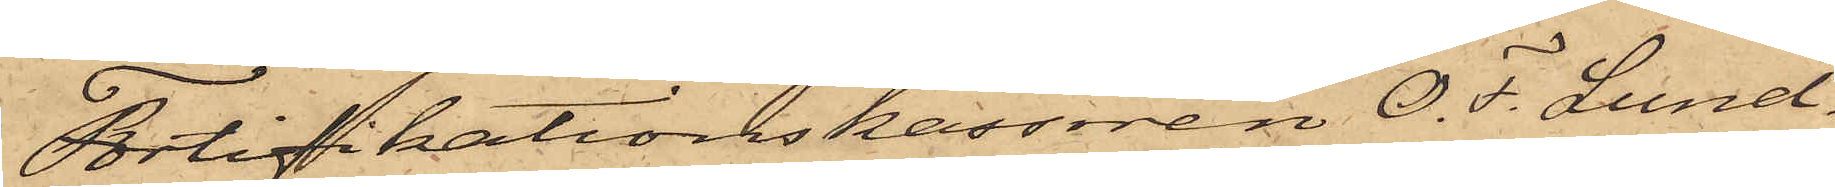Fortifikationskassören O. F. Lund¬
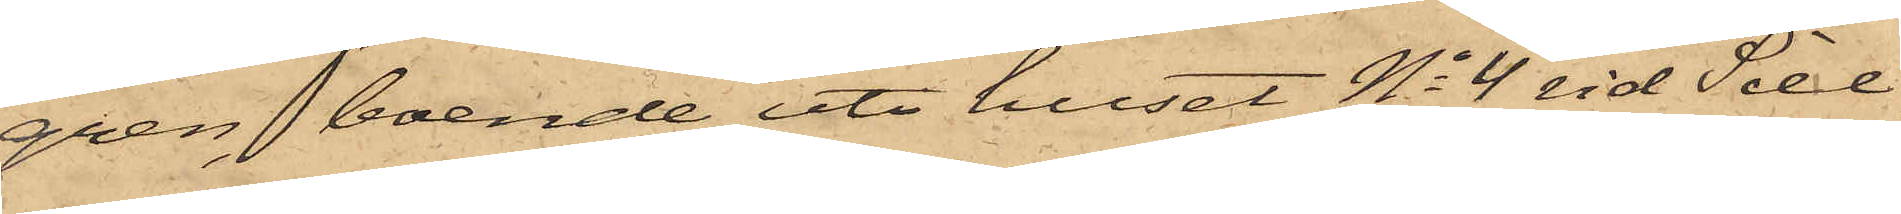gren, boende uti huset No 4 vid Sill¬
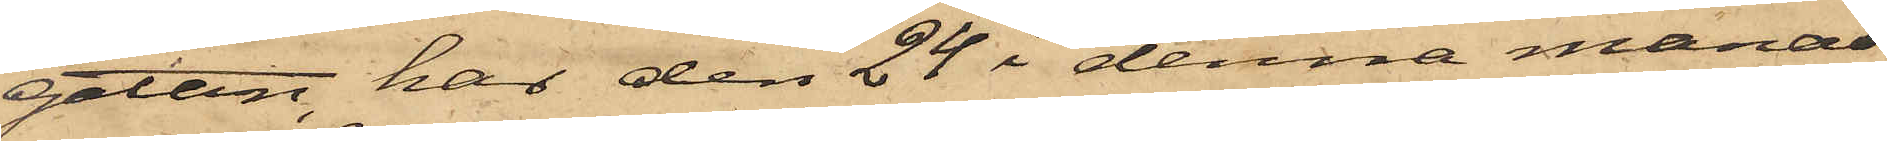gatan, har den 24 i denna månad
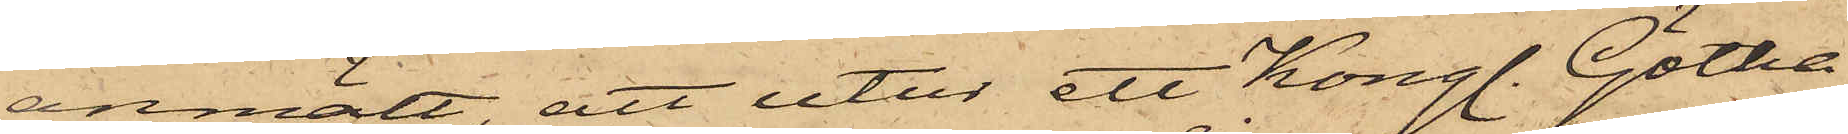anmält att utur ett Kongl. Götha
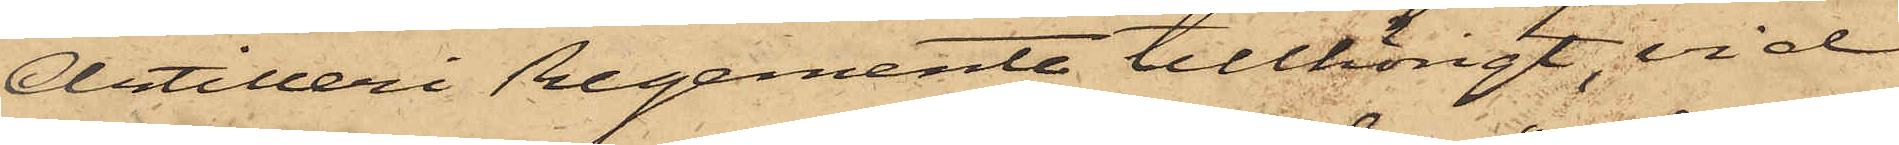Artilleri Regemente tillhörigt, vid
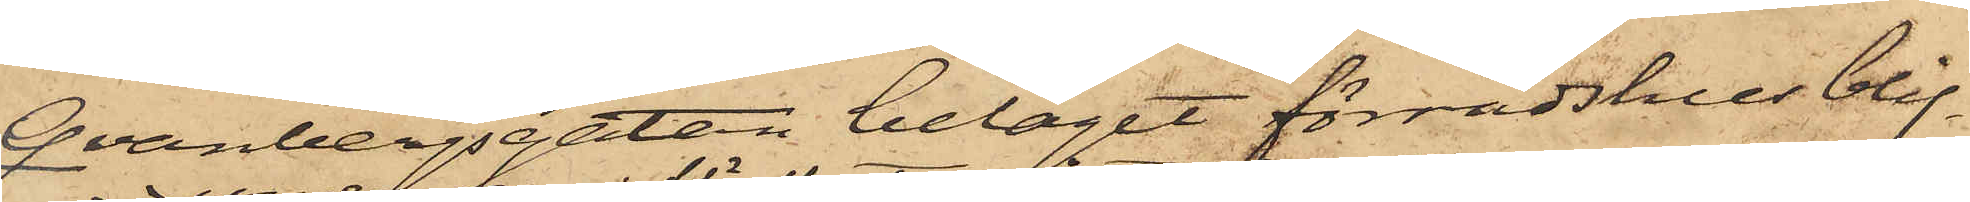Qvanbergsgatan beläget förrådshus blif¬
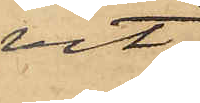vit
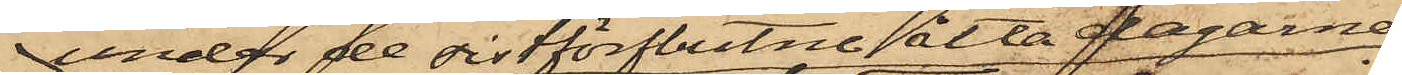under de sistförflutne åtta dagarne
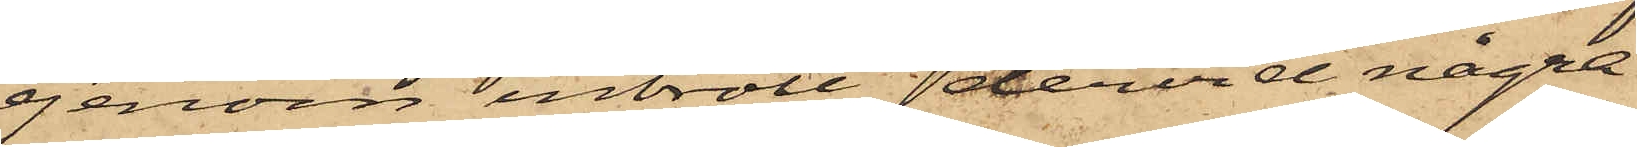genom inbrott, dervid några
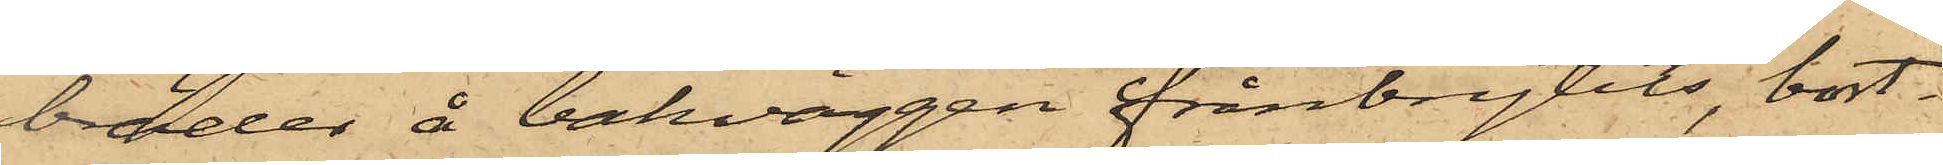bräder å bakväggen frånbrytits, bort¬
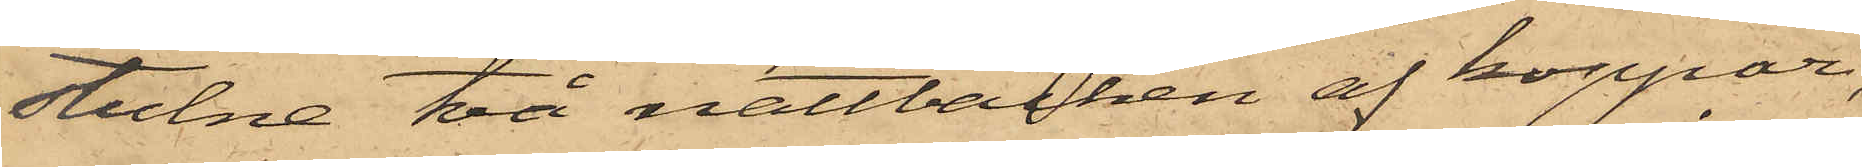stulne två nattbäcken af koppar,
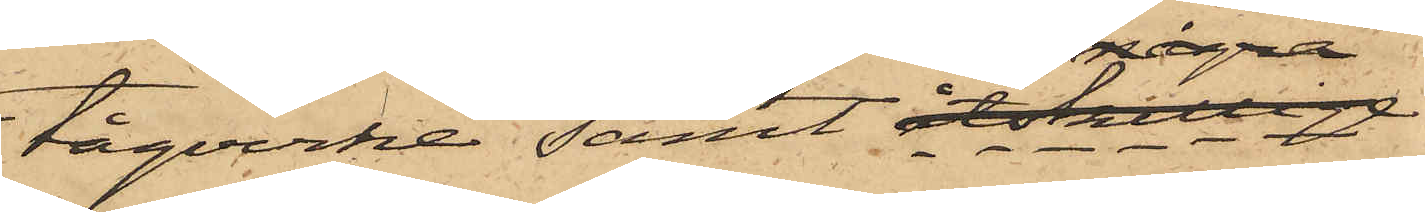tågvirke; samt åtskillige
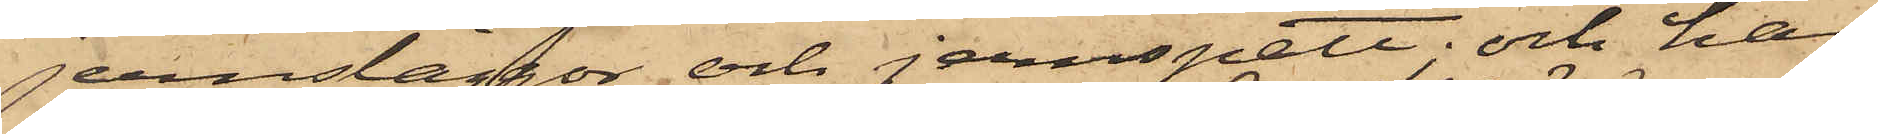jernsläggor och jernspett; och har
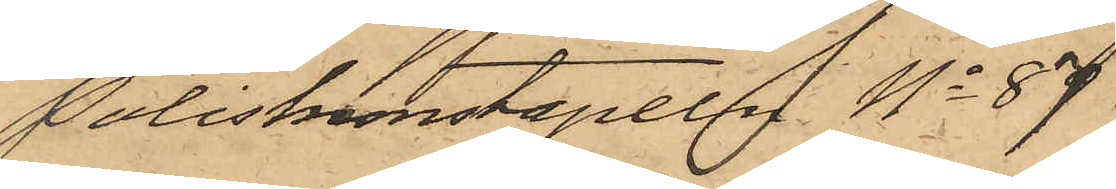Poliskonstapeln No 87
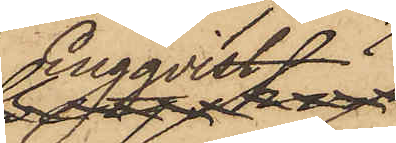Engqvist
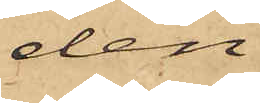den
